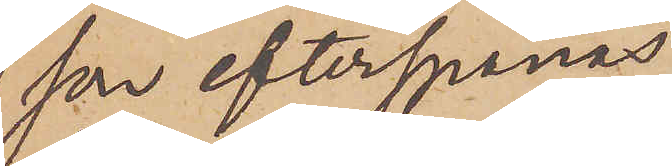son efterspanas
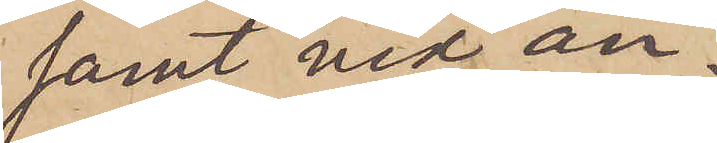samt vid an¬
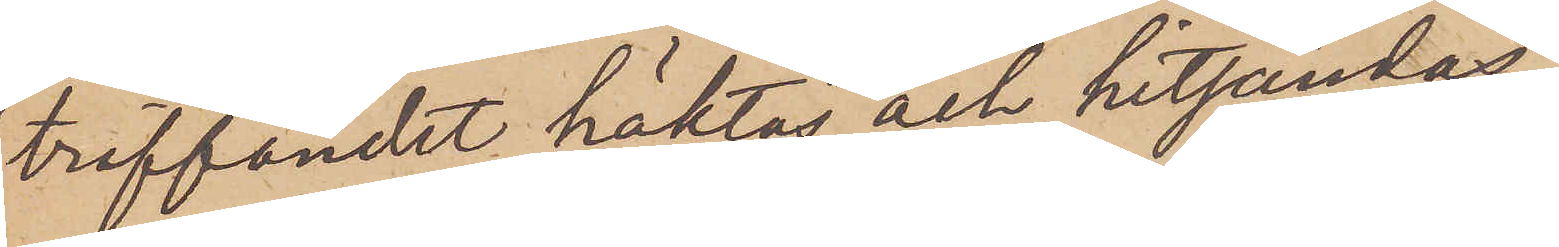träffandet häktas och hitsändas.
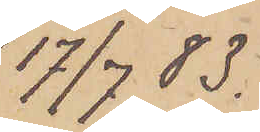17/7 83.
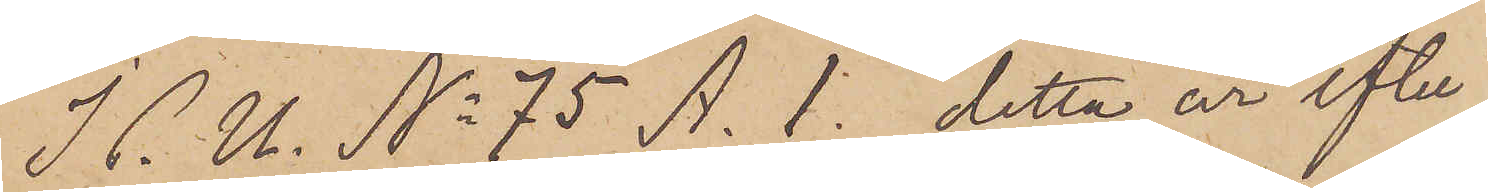I P. U. No 75 A. 1. detta år efter¬
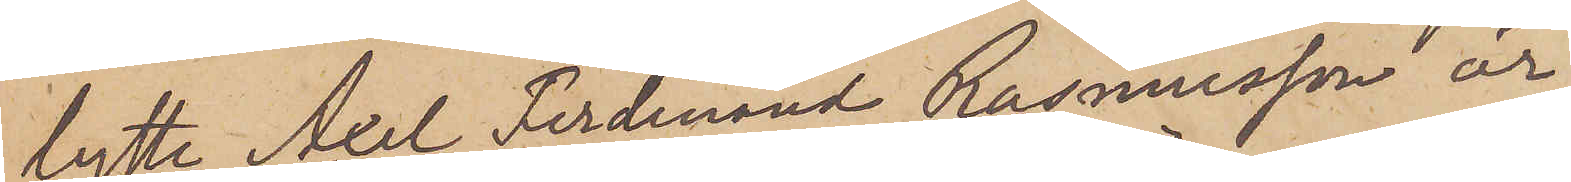lyste Axel Ferdinand Rasmusson är
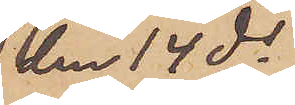den 14 ds
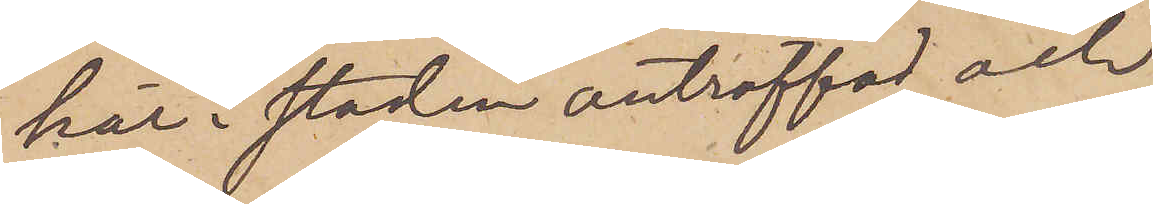här i staden anträffad och
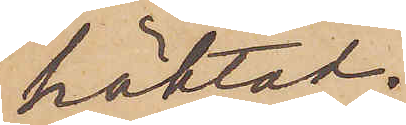häktad.
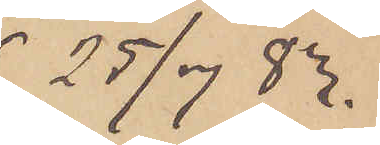25/7 83.
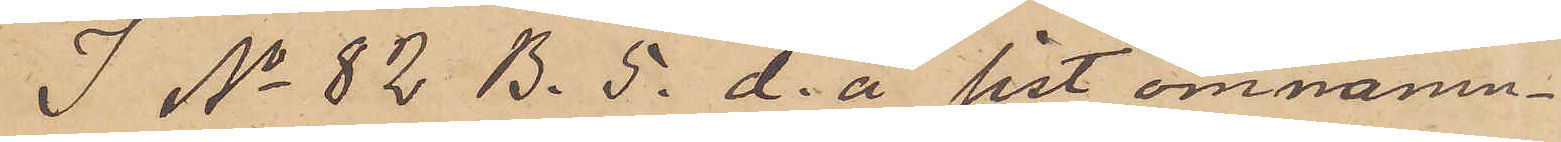I No 82 B. 5. d. å sist omnämn¬
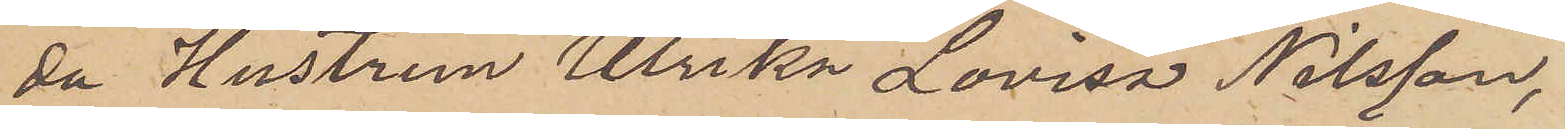da Hustrun Ulrika Lovisa Nilsson,
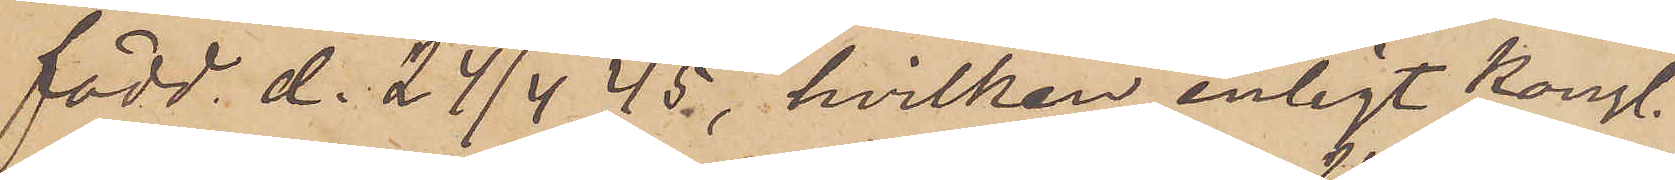född d. 24/4 45., hvilken enligt kongl.
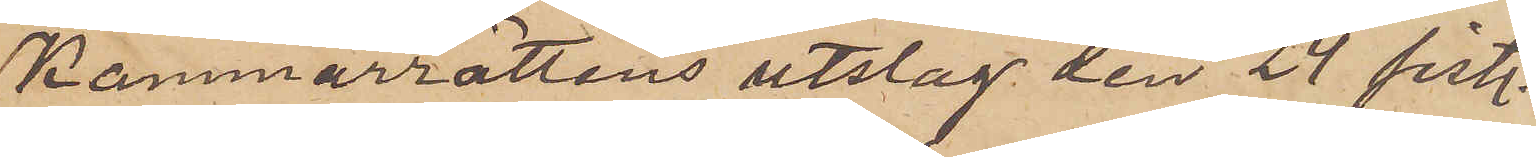Kammarrättens utslag den 24 sist.
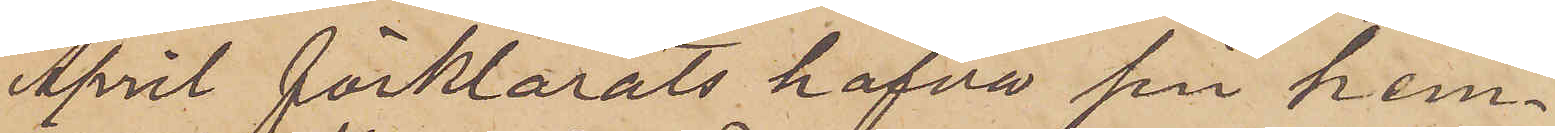April förklarats hafva sin hem¬
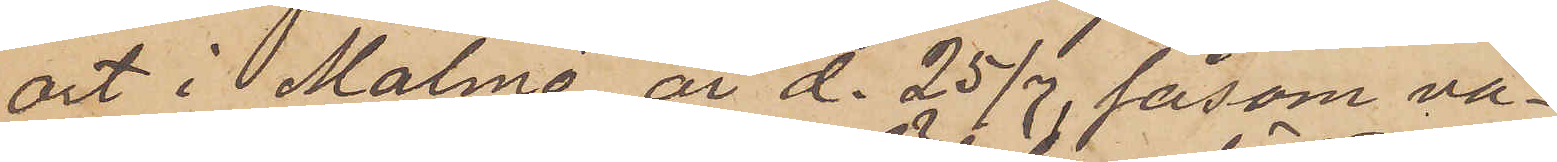ort i Malmö, är d. 25/7, såsom va¬
